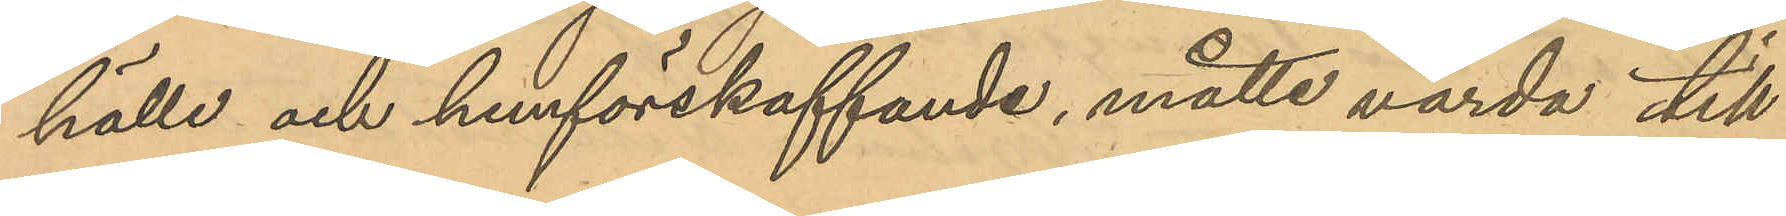hälle och hemförskaffande, måtte varda till
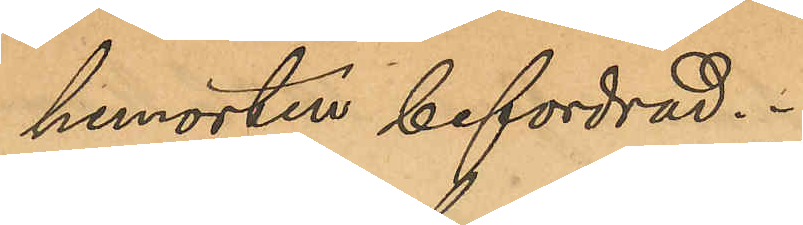hemorten befordrad.
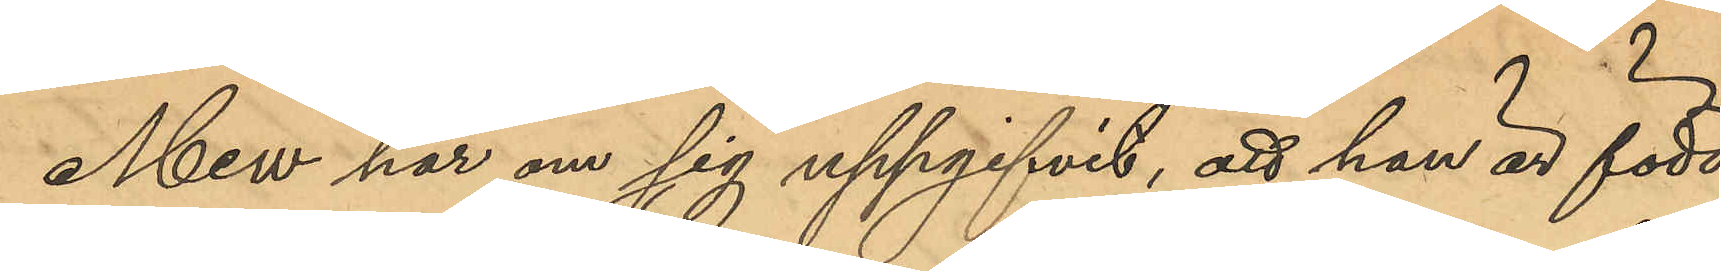Mew har om sig uppgifvit, att han är född
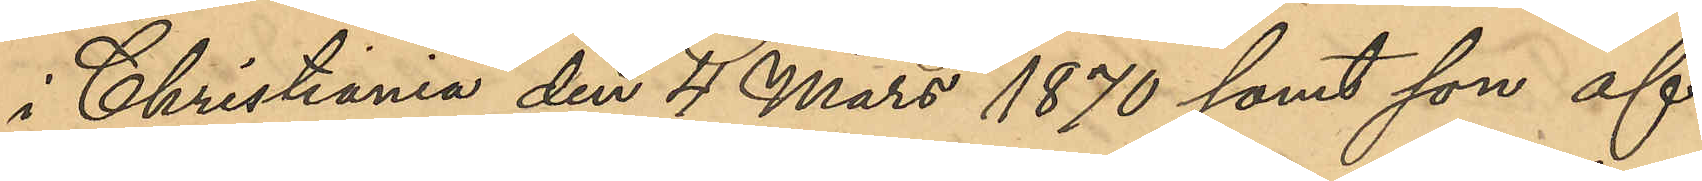i Christiania den 4 Mars 1870 samt son af
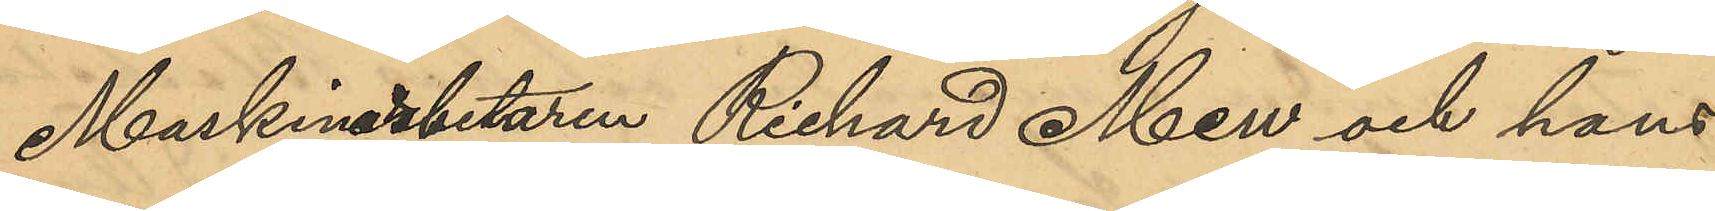Maskinarbetaren Richard Mew och hans 
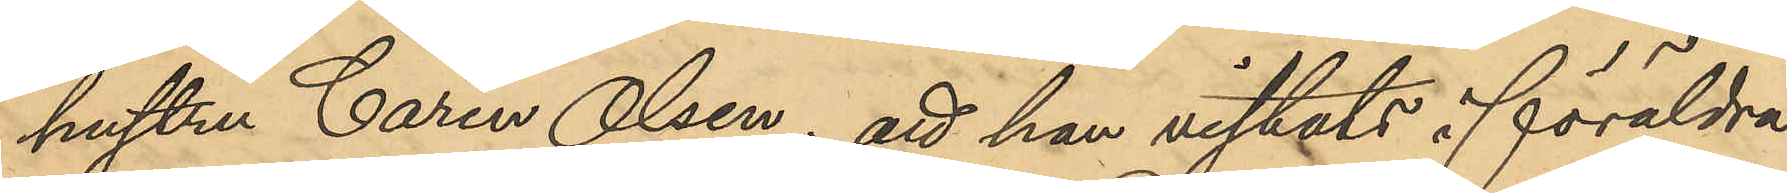hustru Carin Olsen; att han vistats i föräldra¬
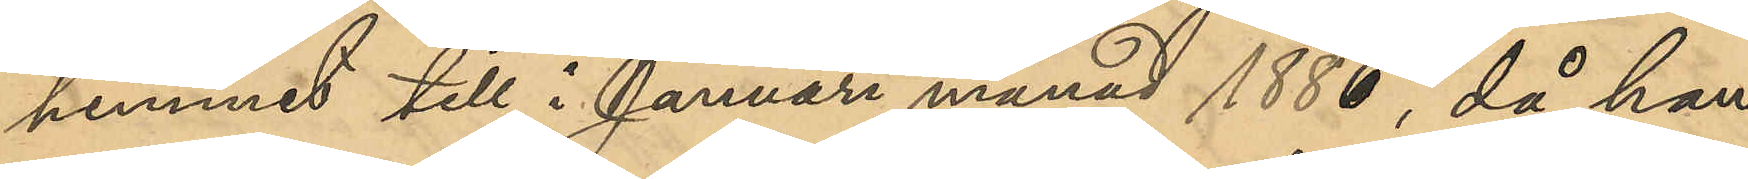hemmet till i Januari månad 1886, då han
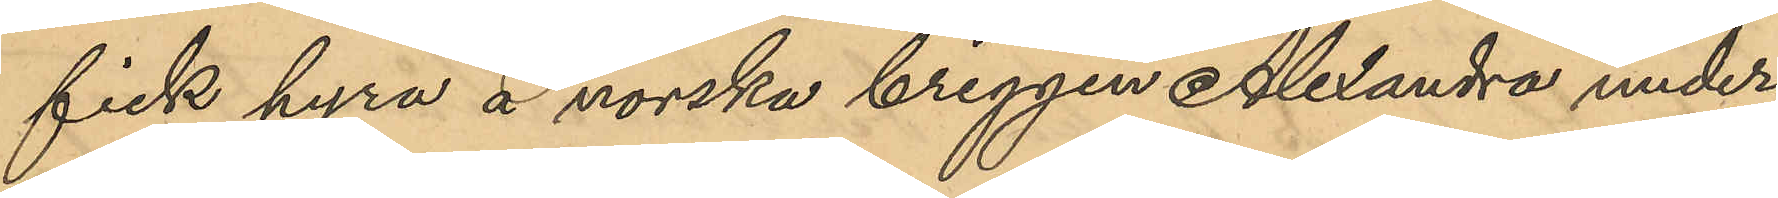fick hyra å norska briggen Alexandra, under
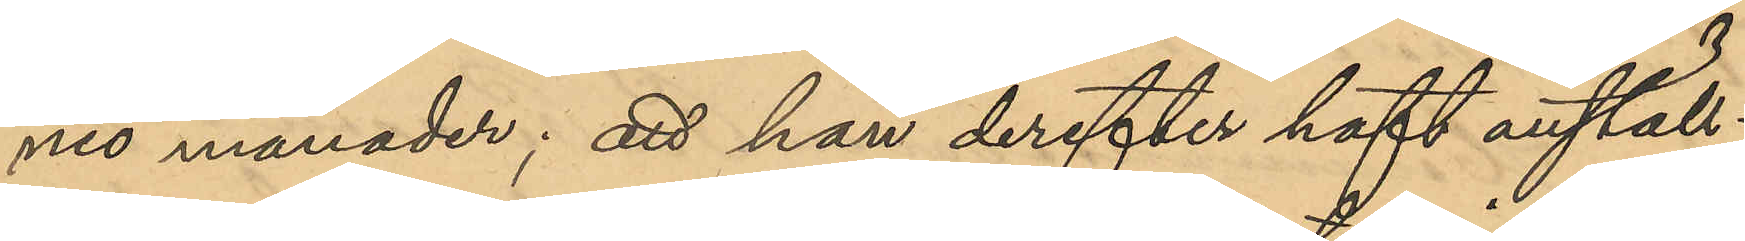nio månader; att han derefter haft anställ¬
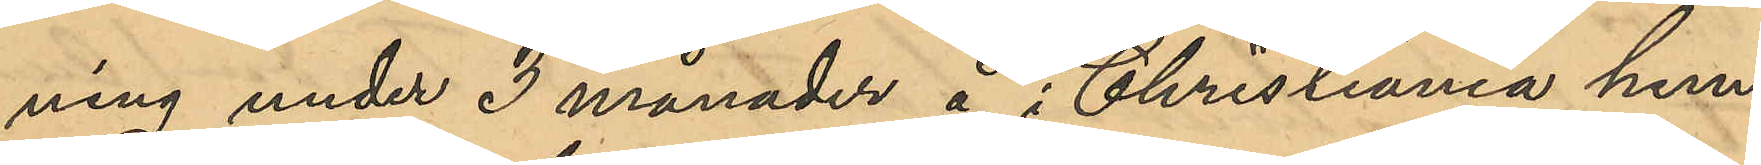ning under 3 månader å i Christiania hem¬
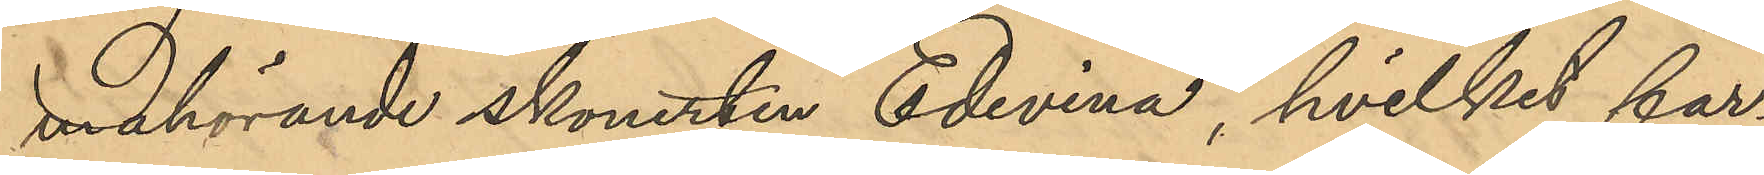mahörande skonerten "Edvina", hvilket far¬
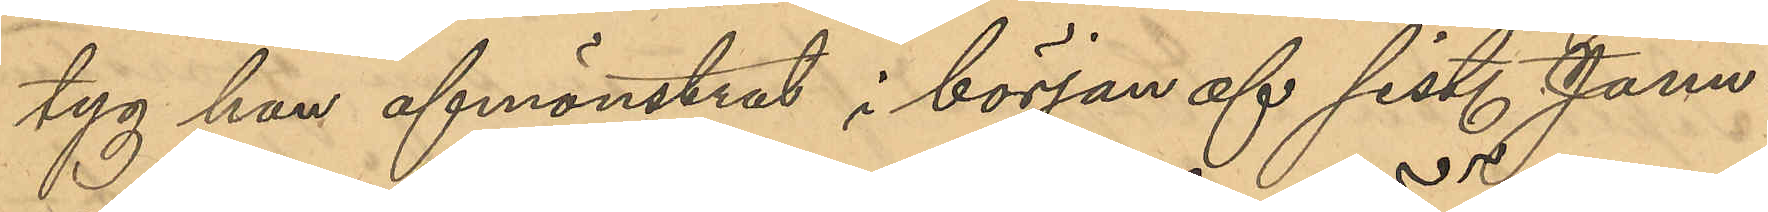tyg han afmönstrat i början af sist. Janu¬
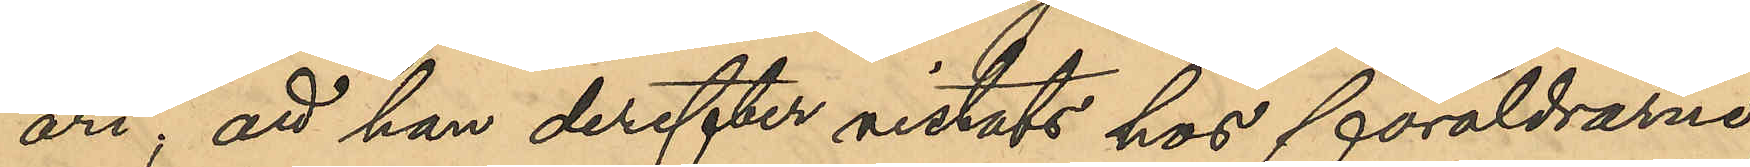ari, att han derefter vistats hos föräldrarne;
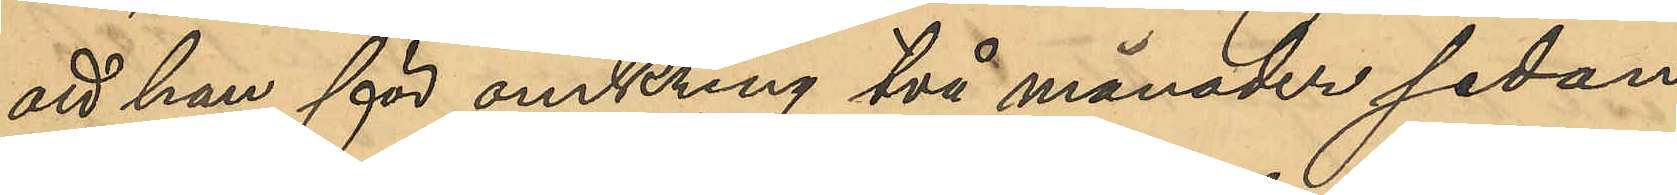att han för omkring två månader sedan
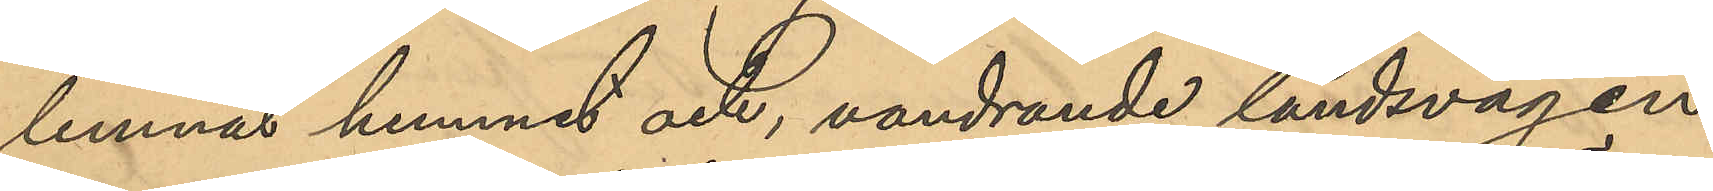lemnat hemmet och, vandrande landsvägen,
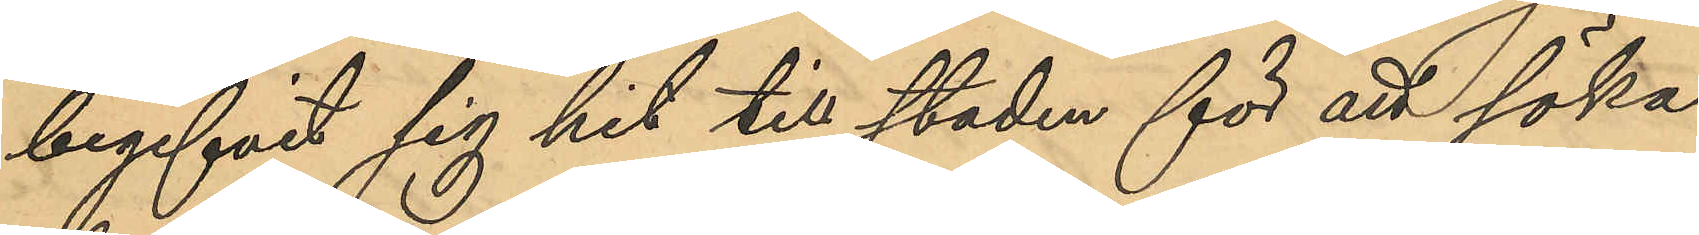begifvit sig hit till staden för att söka
